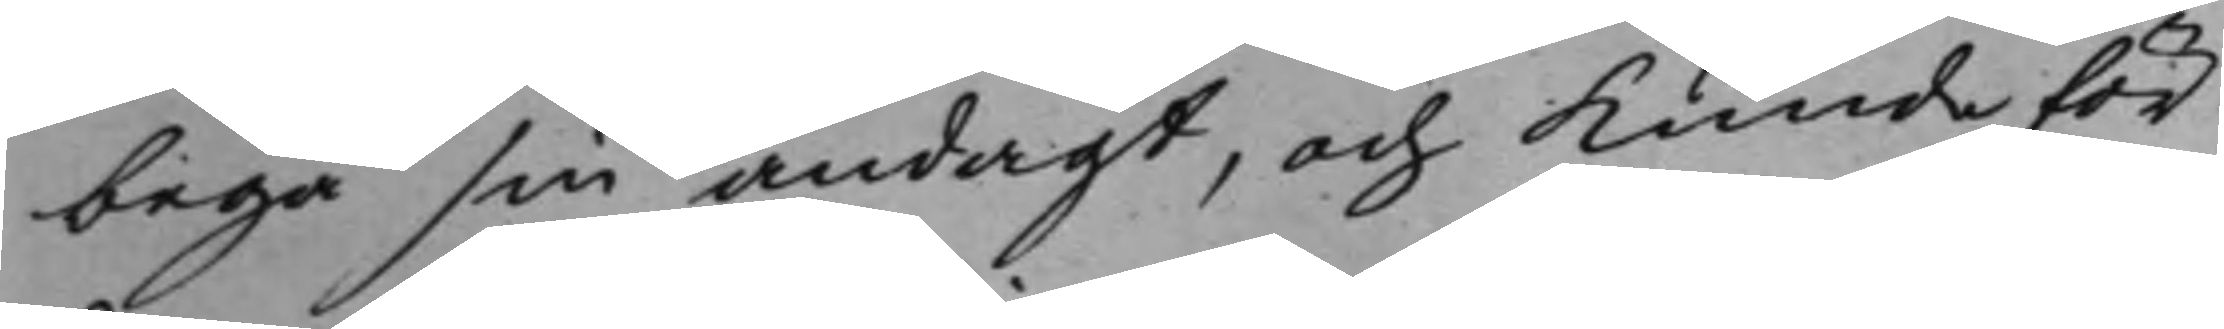begå sin andagt, och kunde för
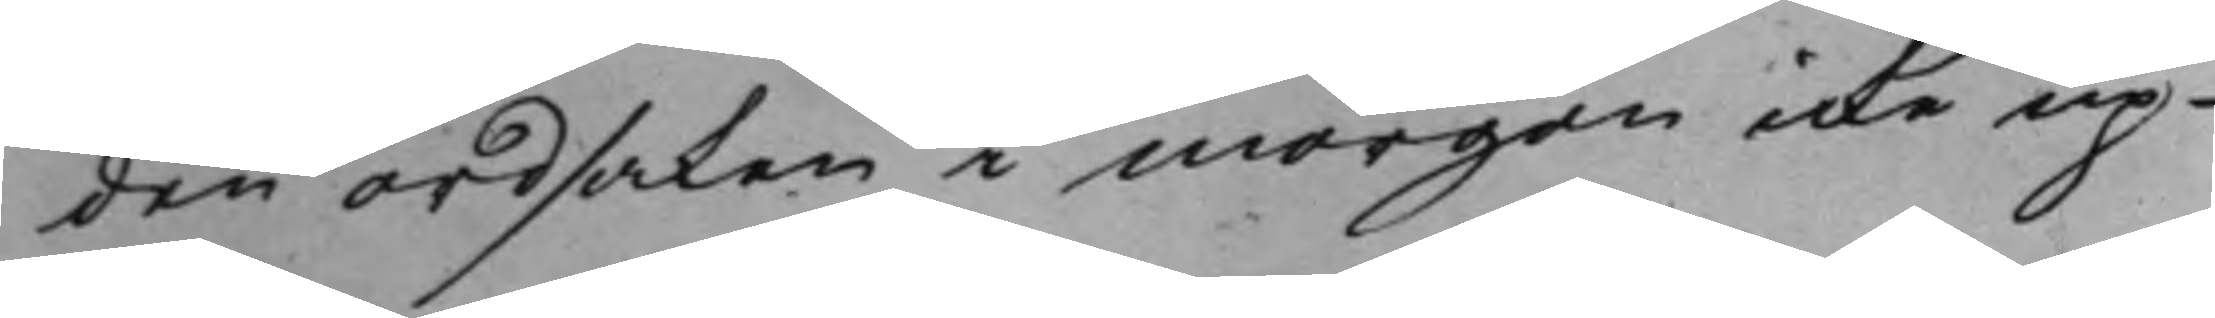den ordsaken i morgon icke up¬
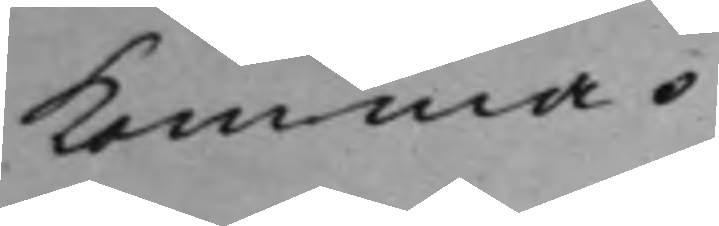komma.
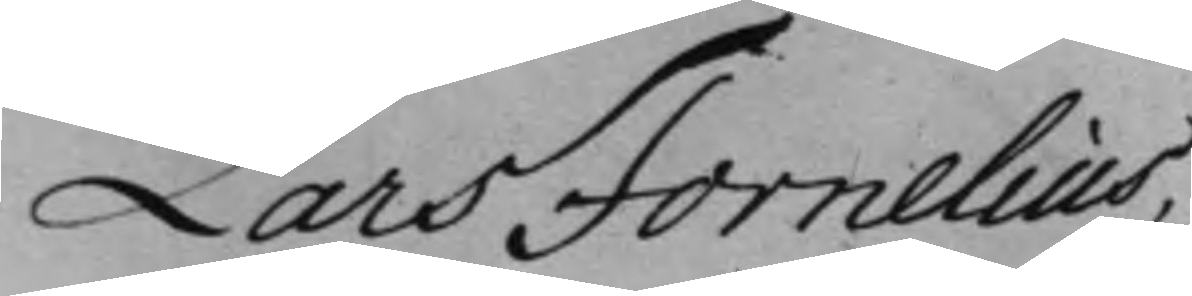Lars Fornelius.
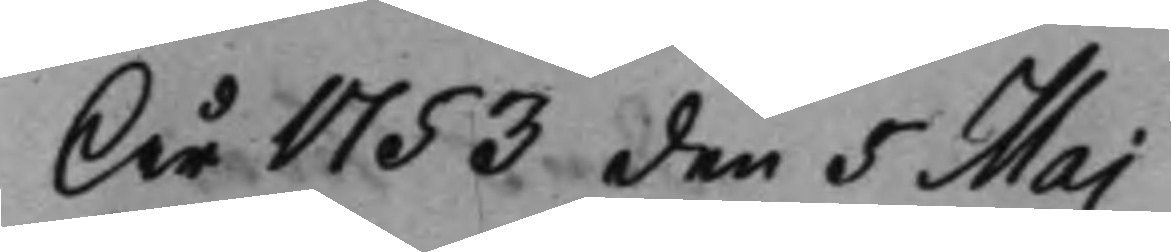År 1753 den 5 Maj
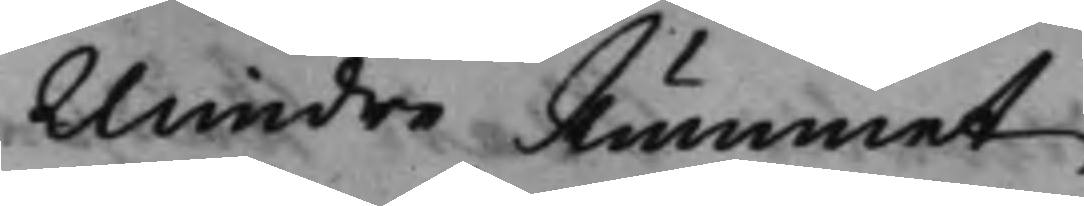Mindre Rummet
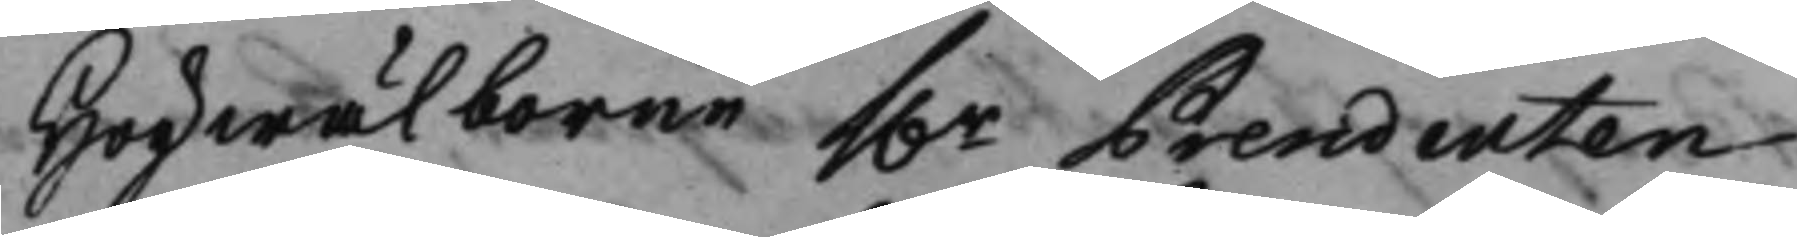Högwälborne h.r Presidenten
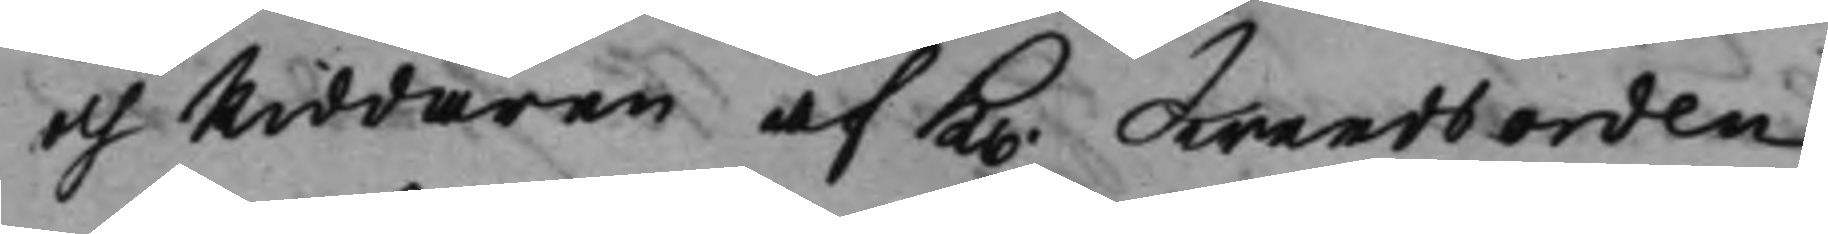och Riddaren af K. Swerdsorden
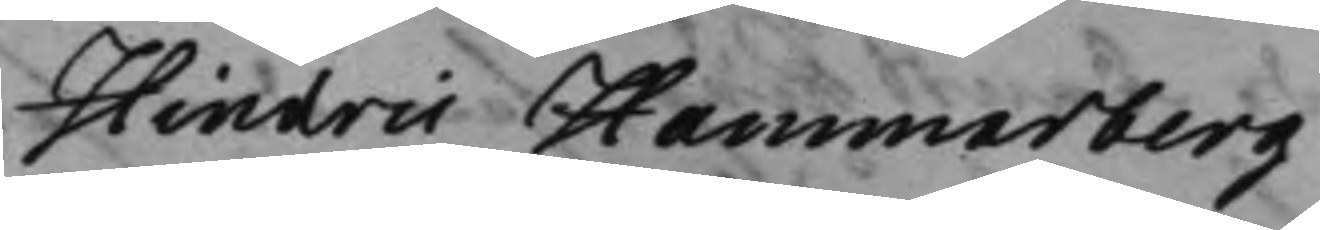Hindric Hammarberg
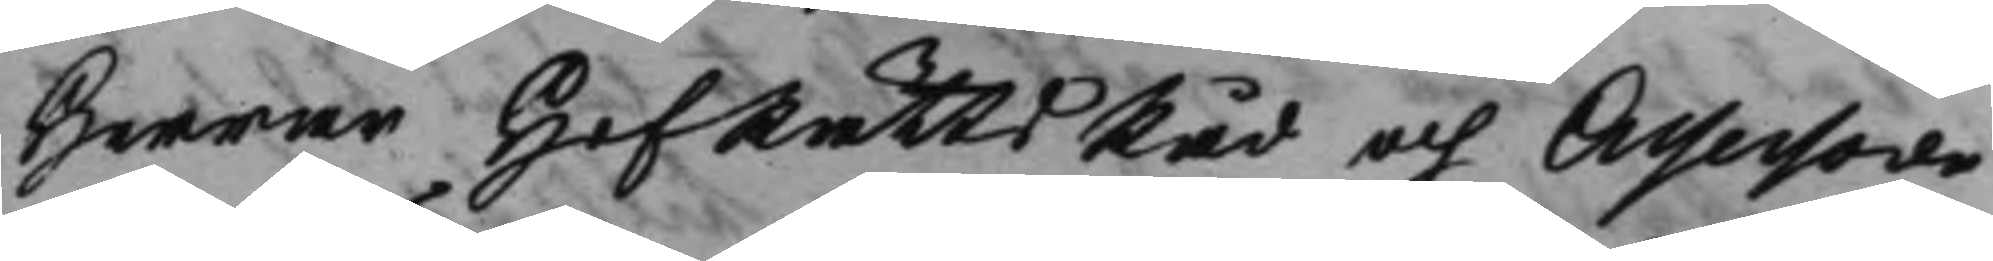Herrar HofRättsRåd och Assessorer
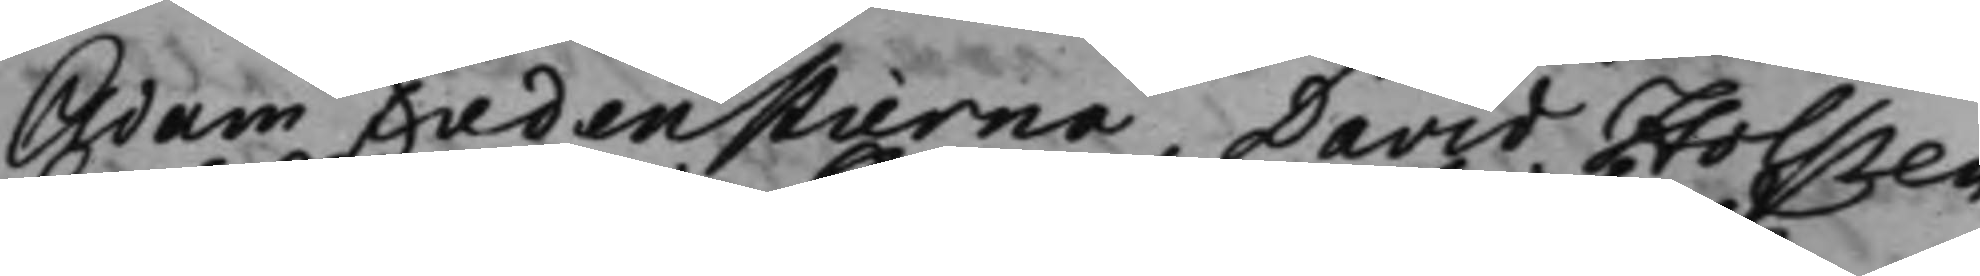Adam Fredenstierna, David Holsten,
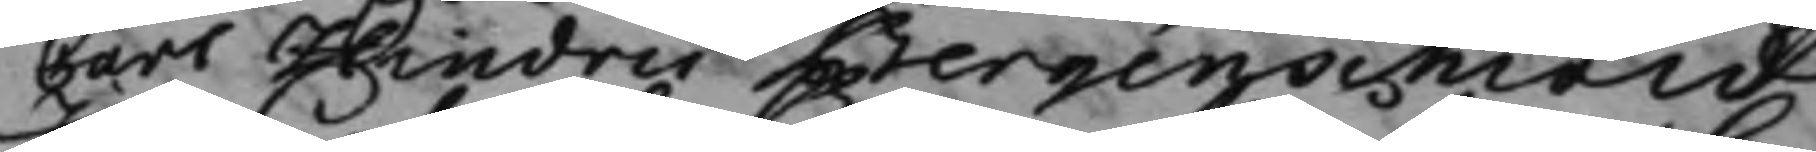Carl Hindric Bergenschiöld
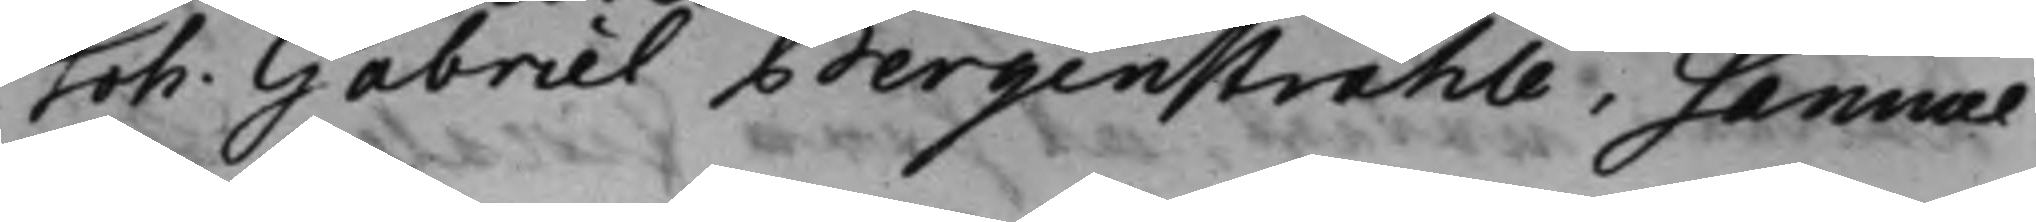Joh. Gabriel Bergenstråhle, Samuel
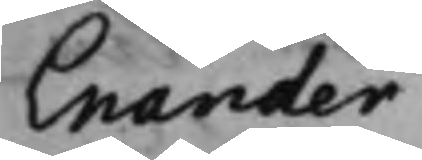Enander
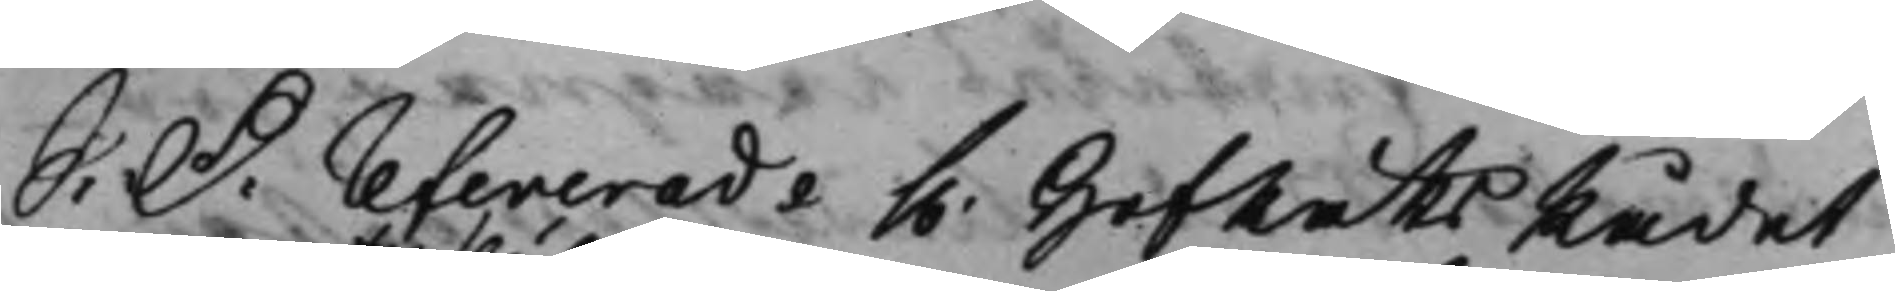S: D: Refererade h. HofRättsRådet
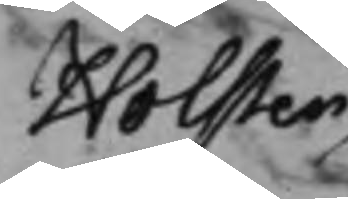Holsten
